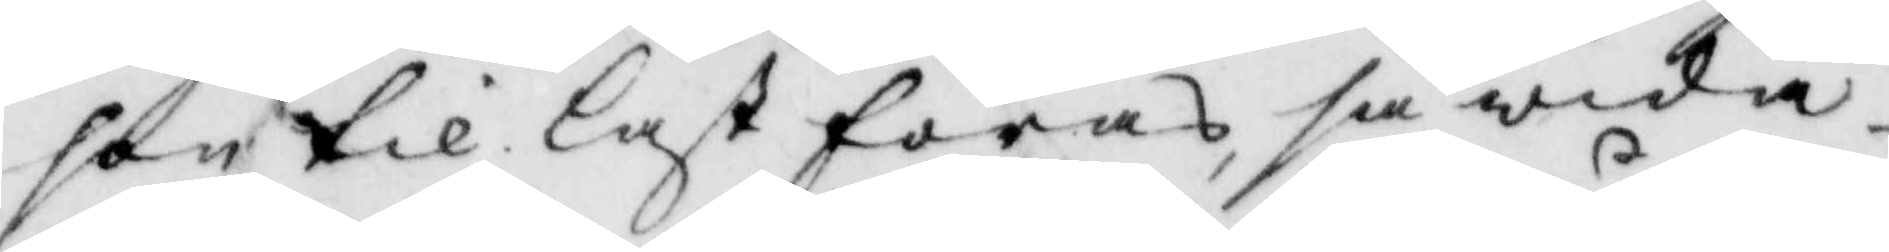son til last föras så wida
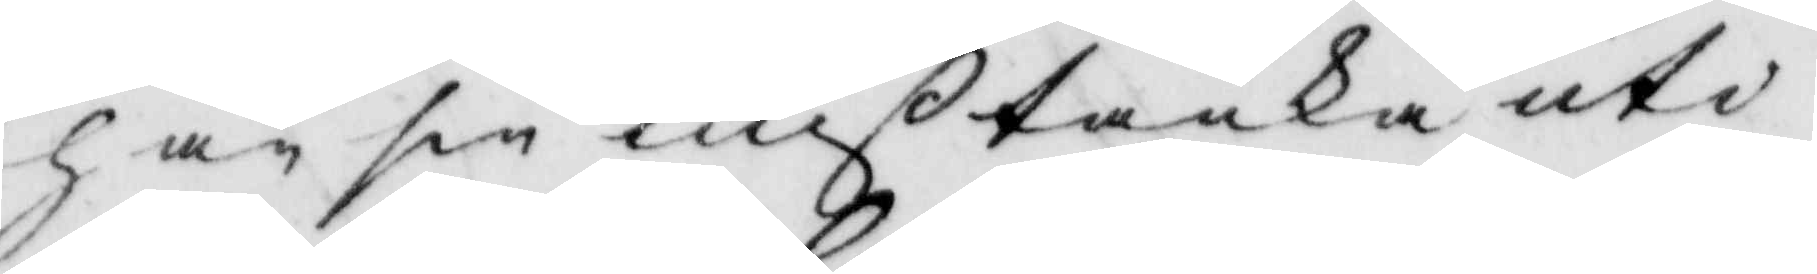han sin mißtanka uti
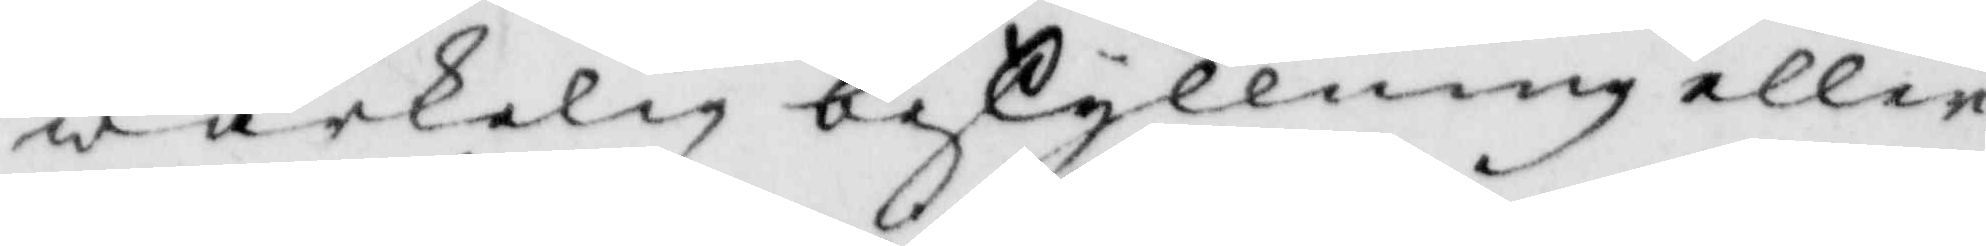wärkelig beskyllning eller
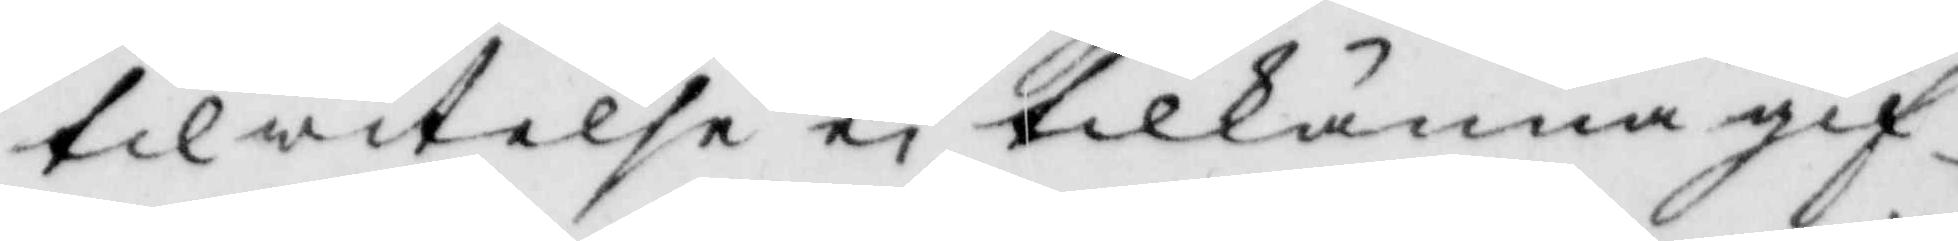tilwitelse ei tillkänna gif¬
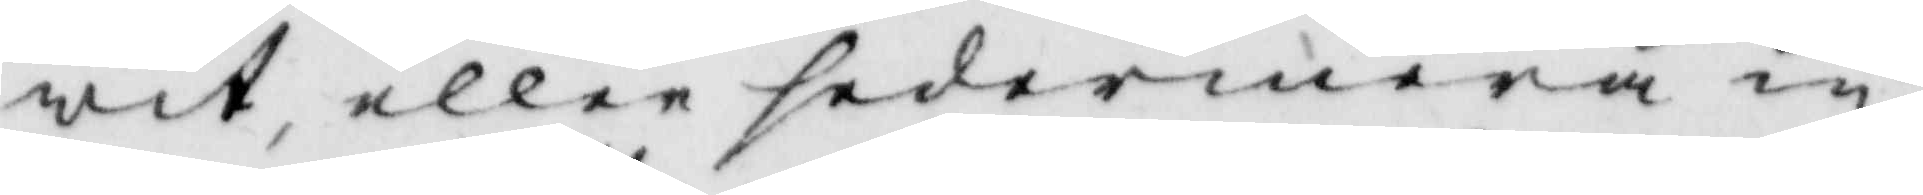wit, eller sedermera in¬
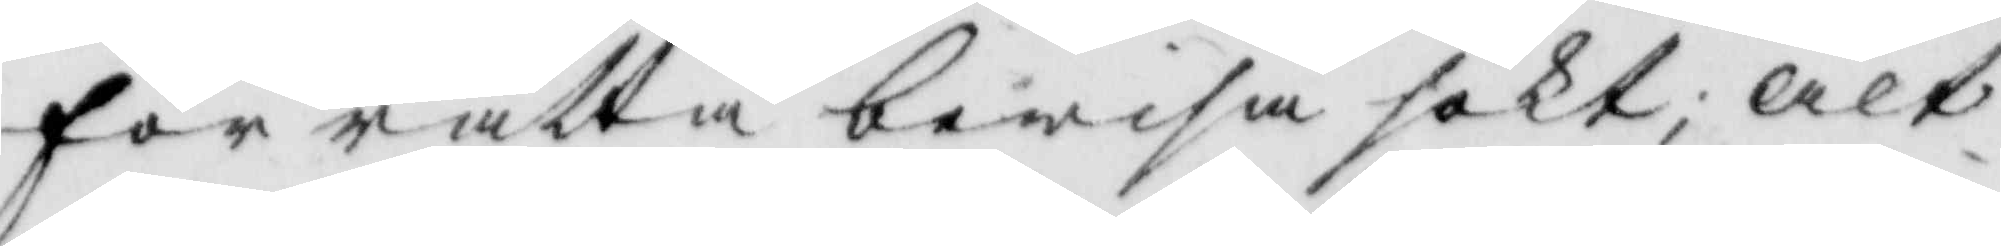för rätten bewisa sökt; alt¬
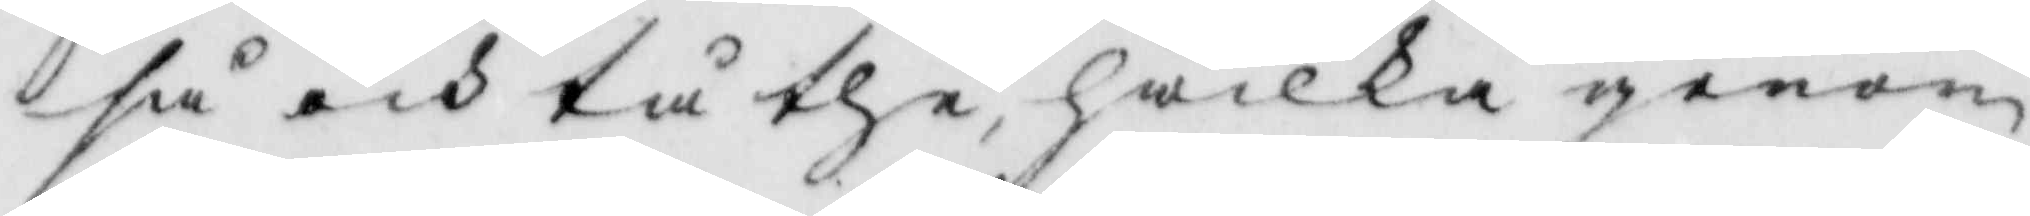så och tå the, hwilka genom
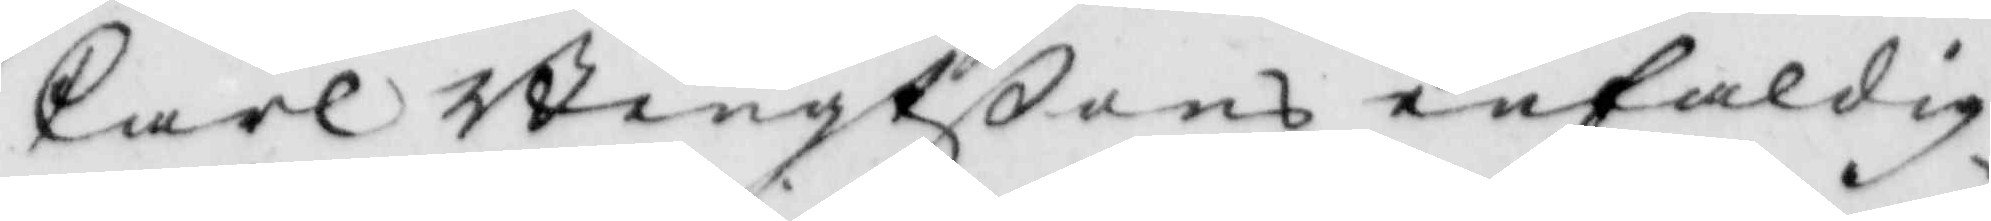Carl Bengtßons enfaldig¬
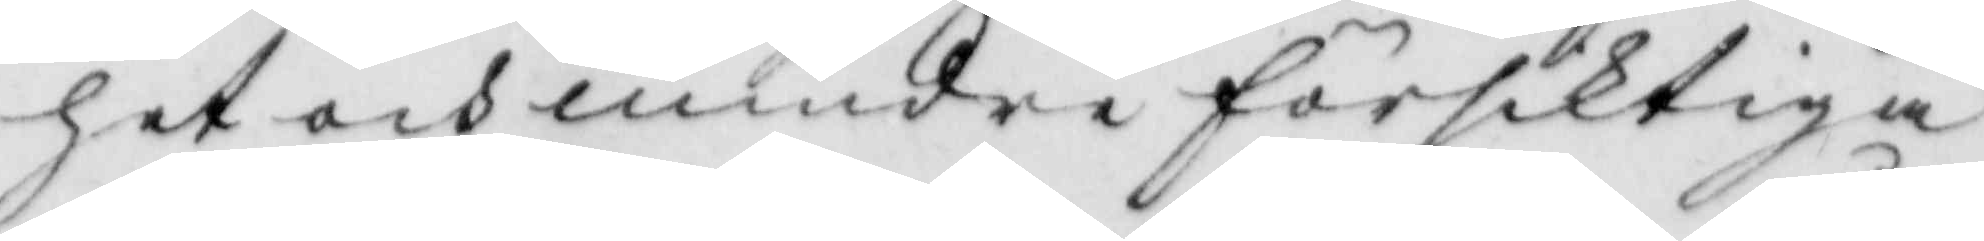het och mindre försiktiga
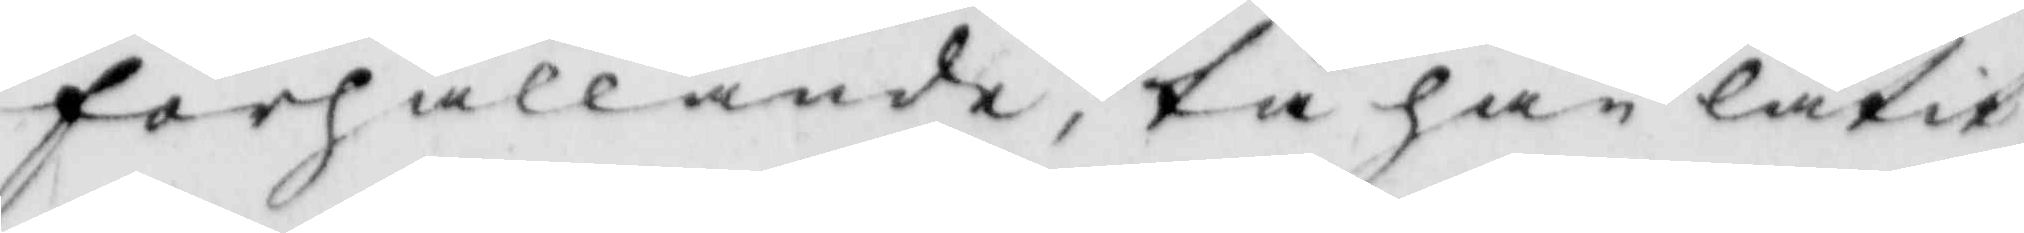förhållande, tå han låtit
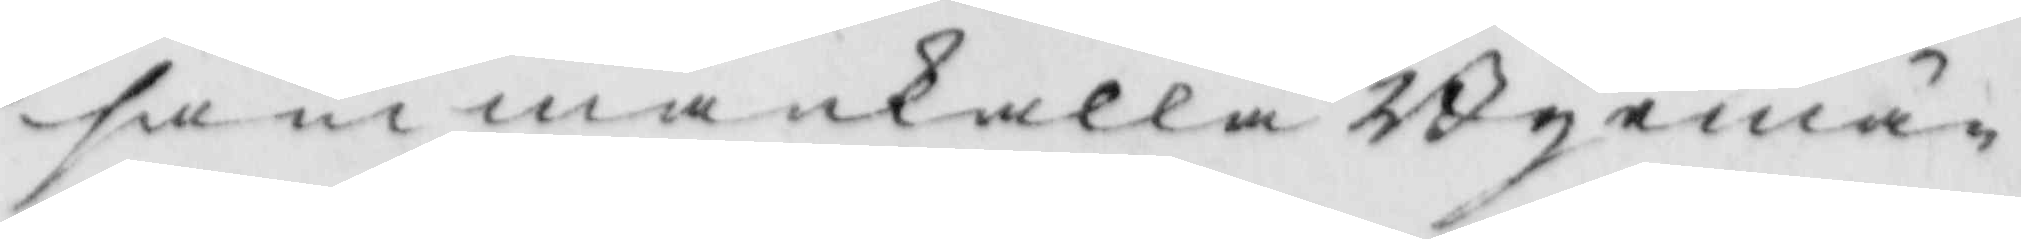sammankalla Byemän¬
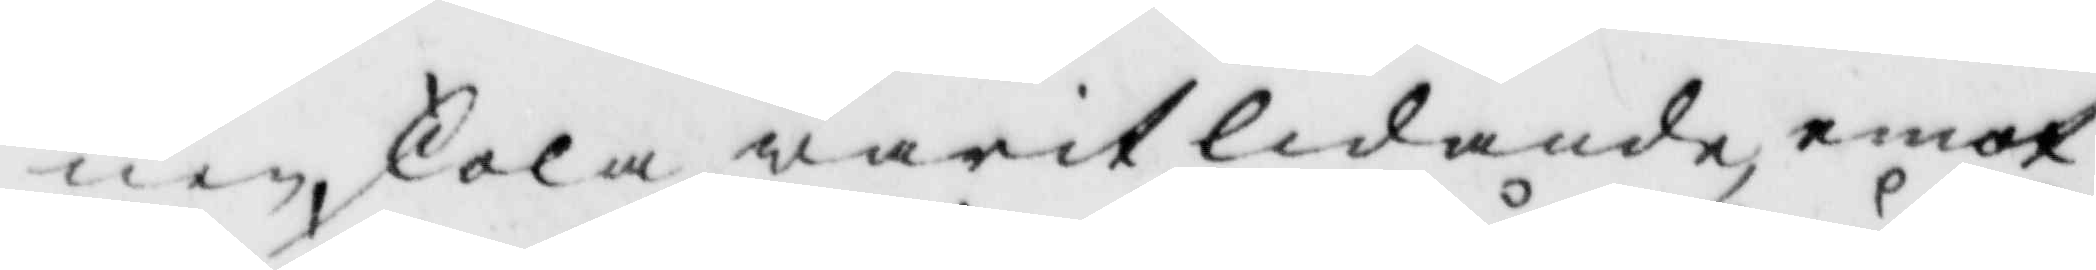nen, skola warit lidande, emot
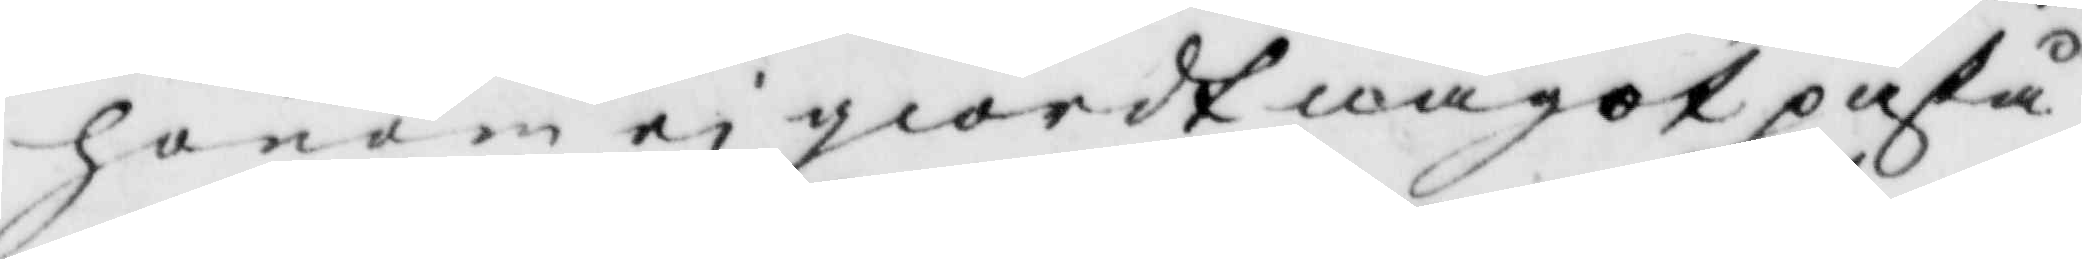honom ei giordt något påstå¬
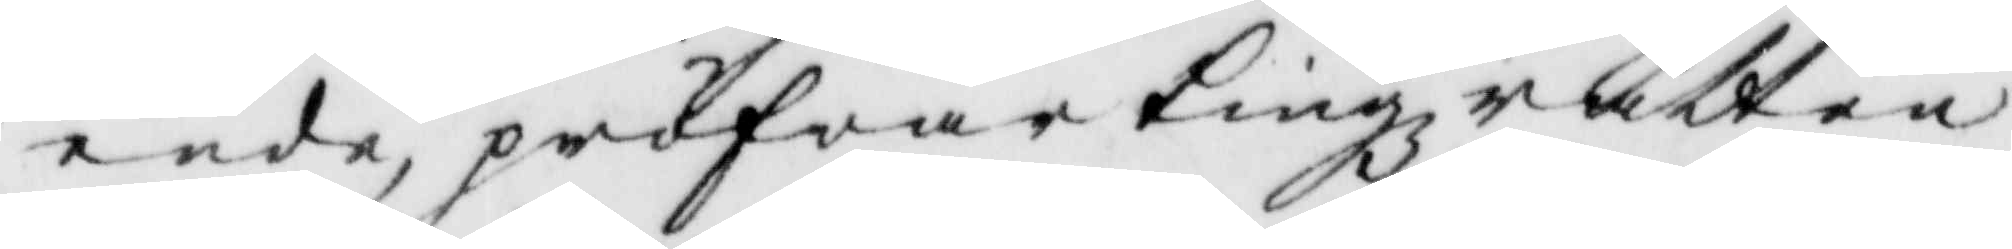ende, pröfwar Tingzrätten
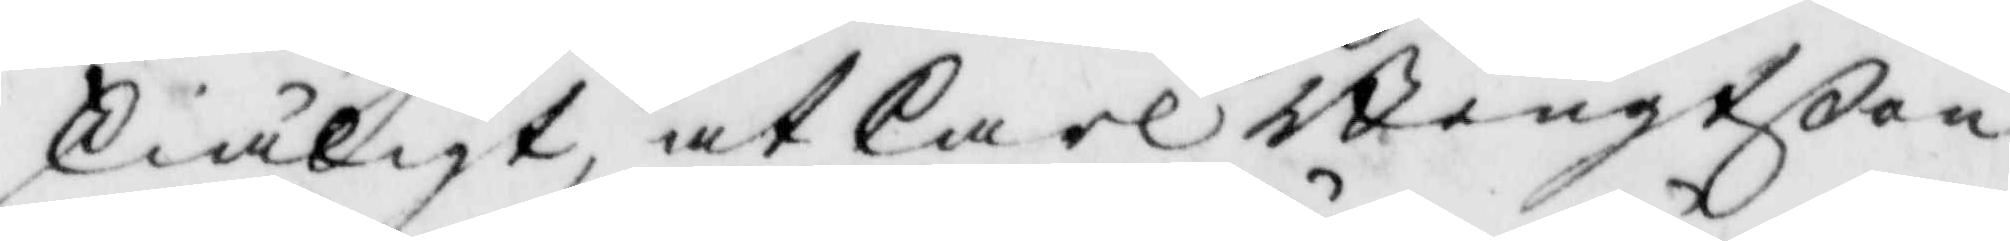skiäligt, at Carl Bengtßon
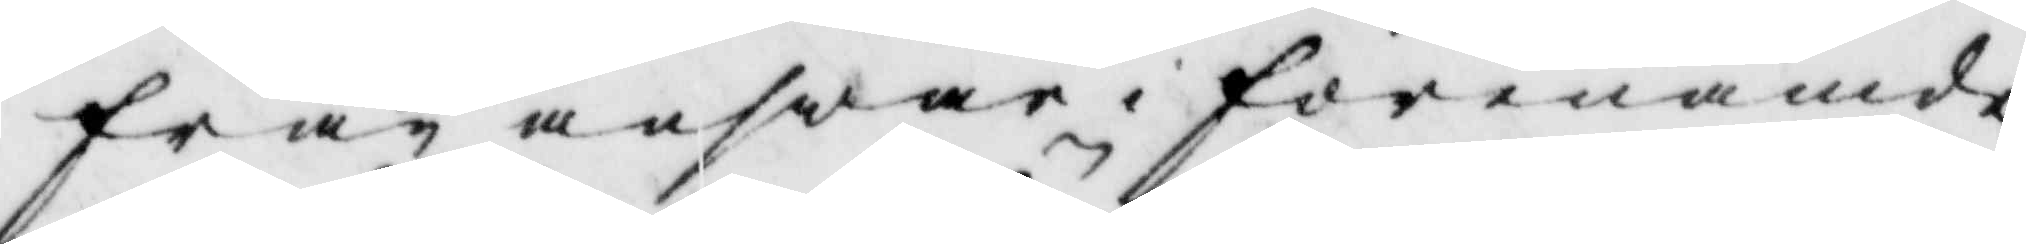från answar i förenämde
